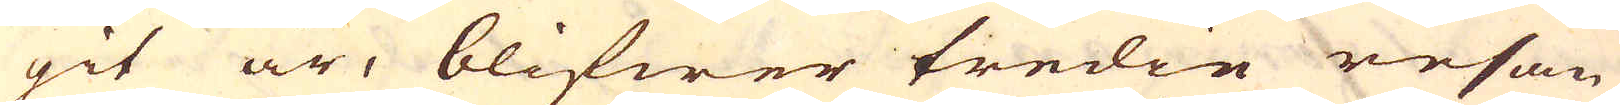git är, blifwer tredie resan
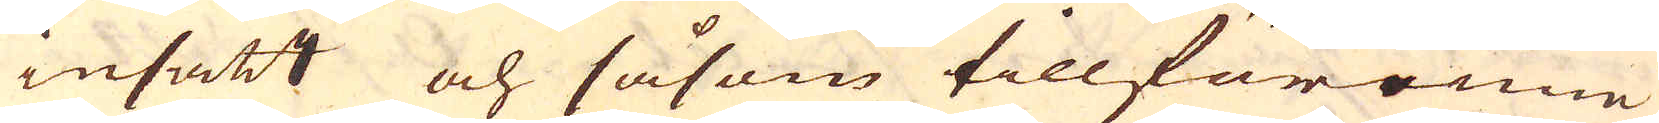insatt och såsom tillförenne
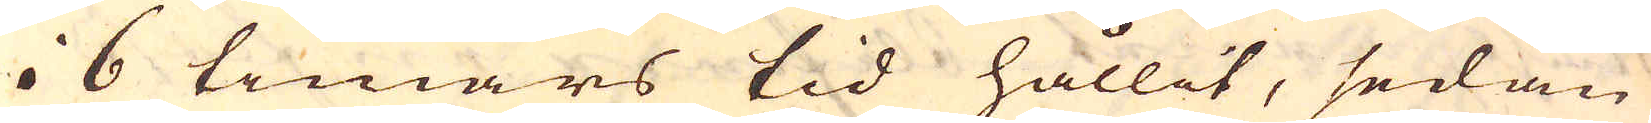i 6 timars tid hållit, sedan
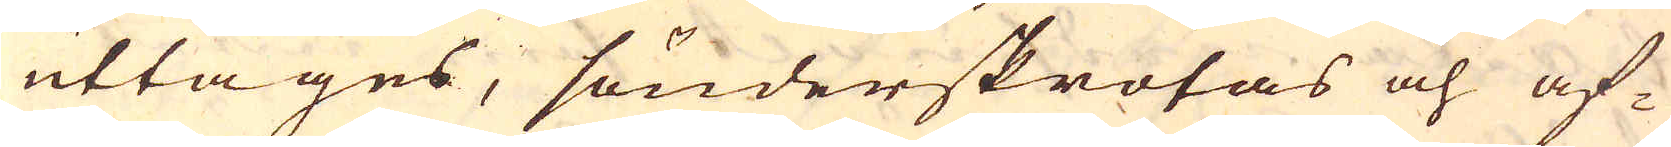uttages, sönderskrotas och af-
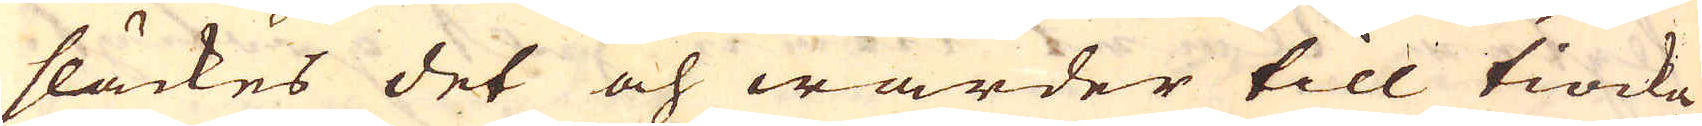släckes det och warder till tiocka
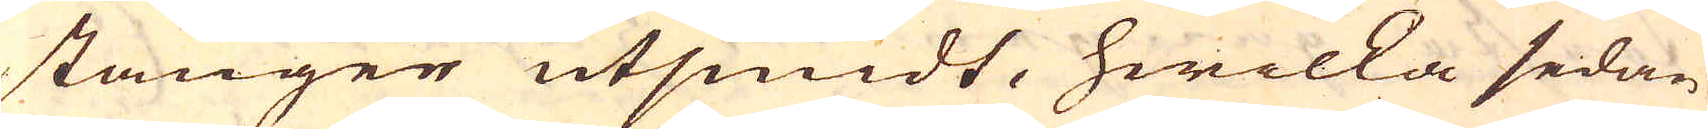stänger utsmidt, hwilka sedan
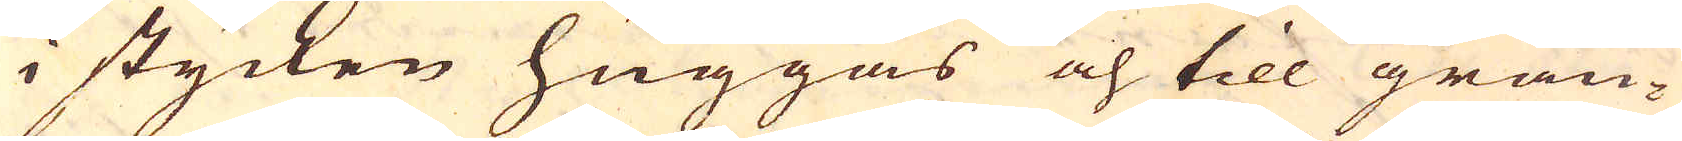i stycken huggas och till gran-
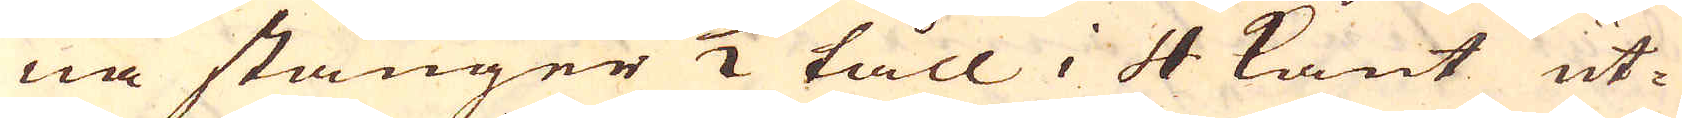na stänger 1/2 tåll i 4 kant ut-
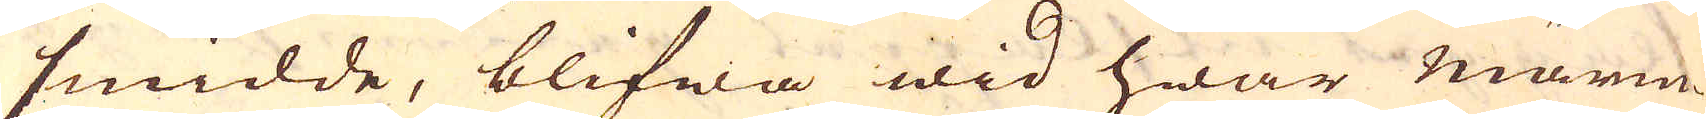smidde, blifwa wid hwar wärm-
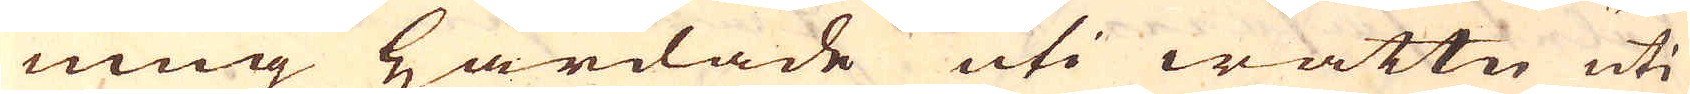ning Härdade uti wattn uti
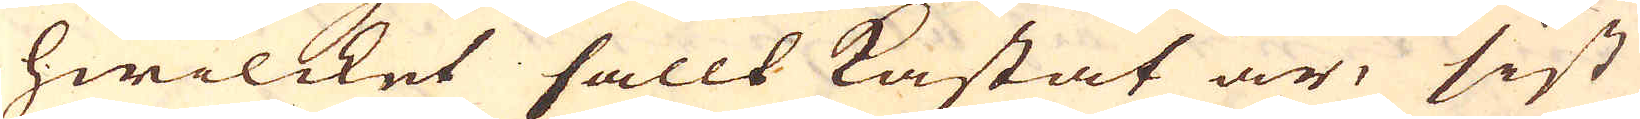hwilcket sallt kastat är, sist
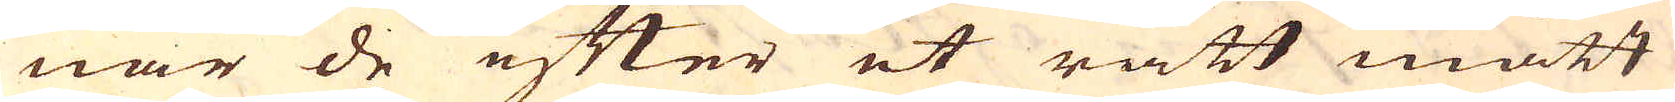när de efter et rätt mått
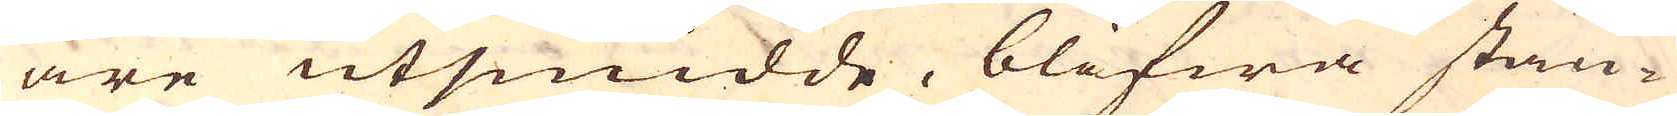äre utsmidde, blifwa stän-
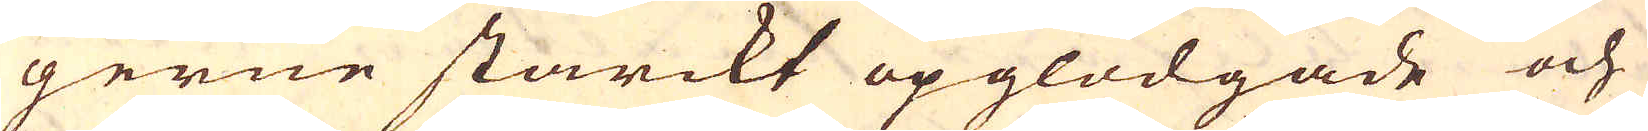gerne starckt opglödgade och
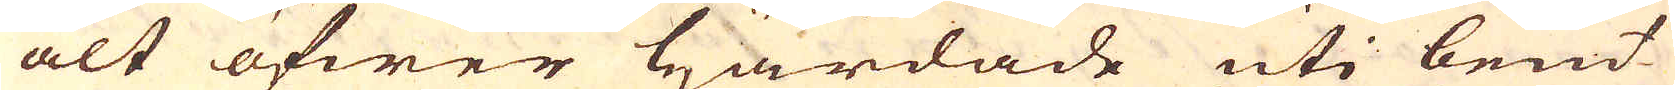alt öfwer härdade uti lent
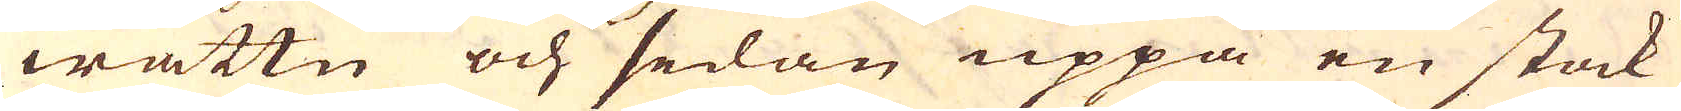wattn och sedan uppå en stock
